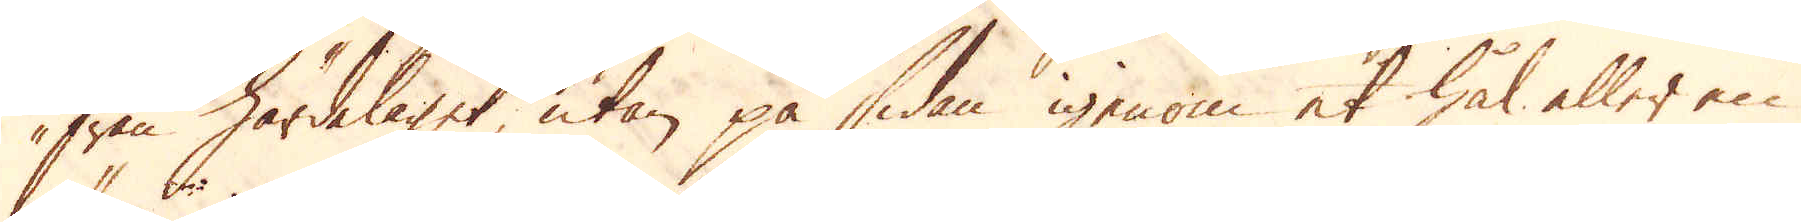från härdelaget, utan på sidan igenom et hål eller en
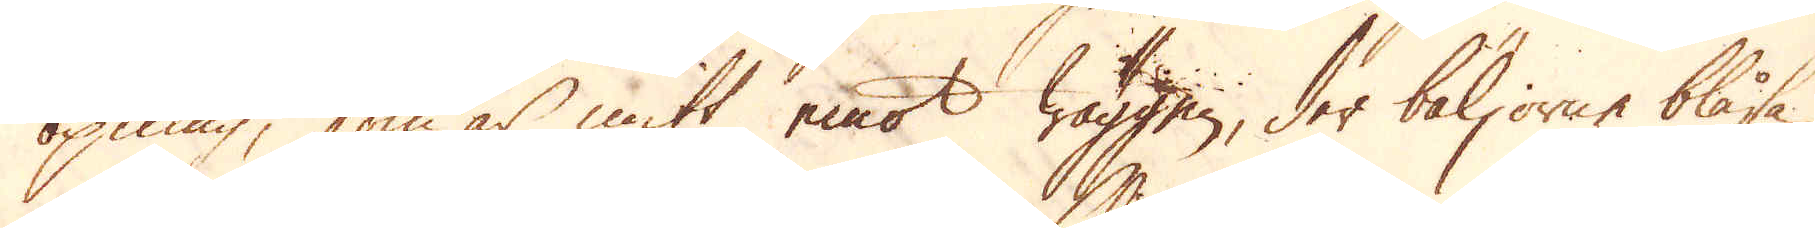öpning, som är mitt emot wäggen, der bäljorne blåsa
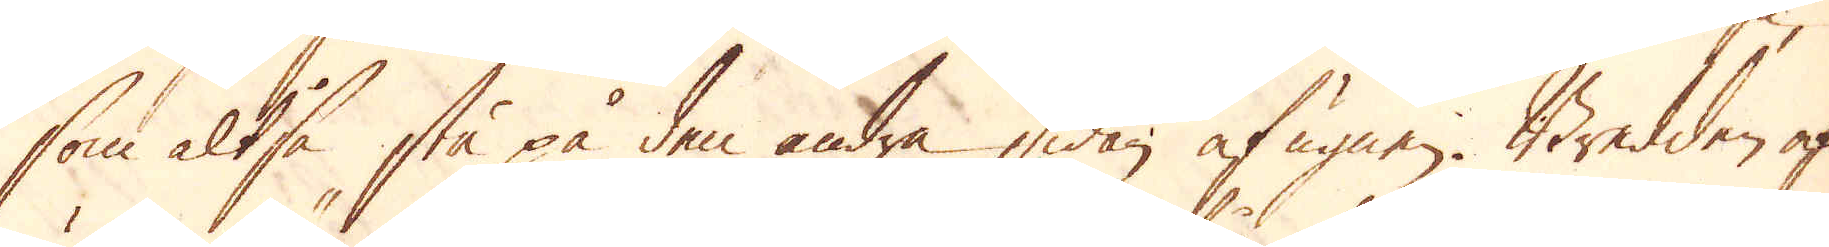som altså stå på den andra sidan af ugnen. Bredden af
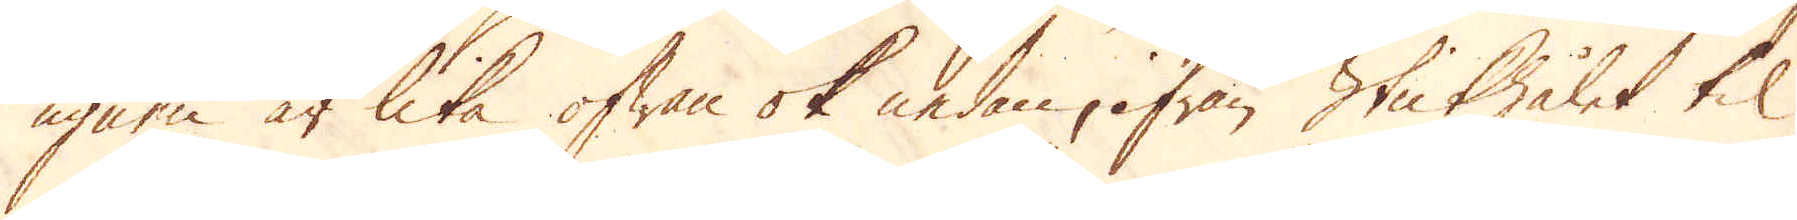ugnen är lika ofwan ok nedan, ifrån Stickhålet til
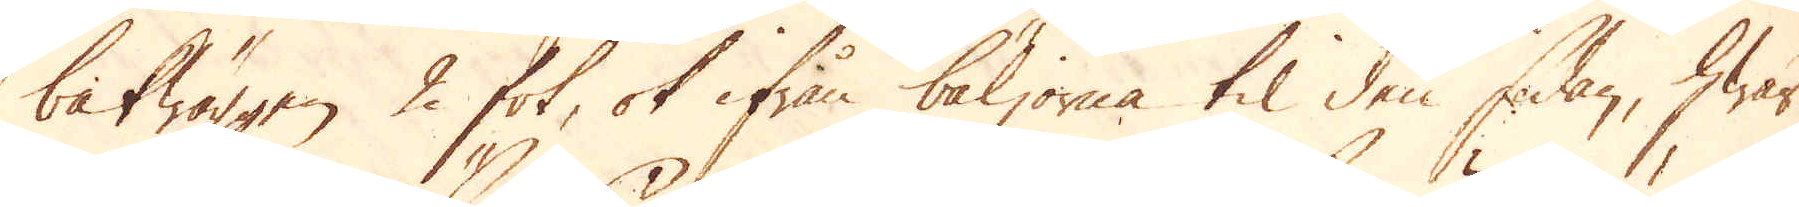bakwäggen 2 fot, ok ifrån bäljorna til den sidan, hwar
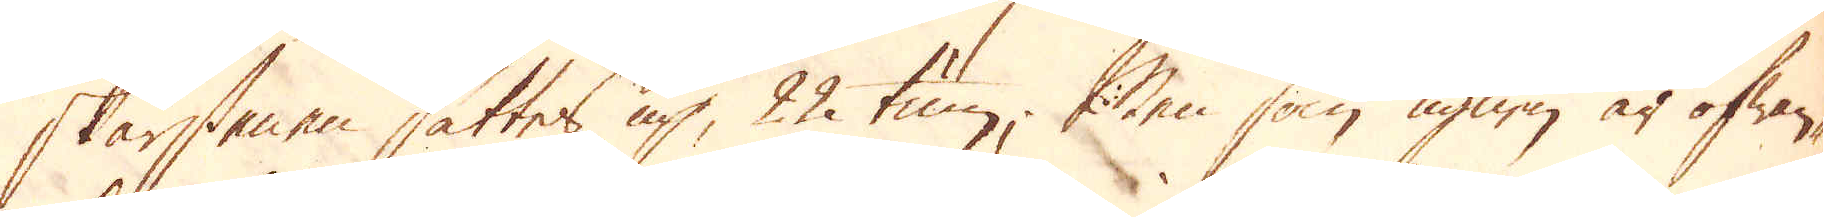skärstenen sättes up, 22 tum. Men som ugnen är ofwan-
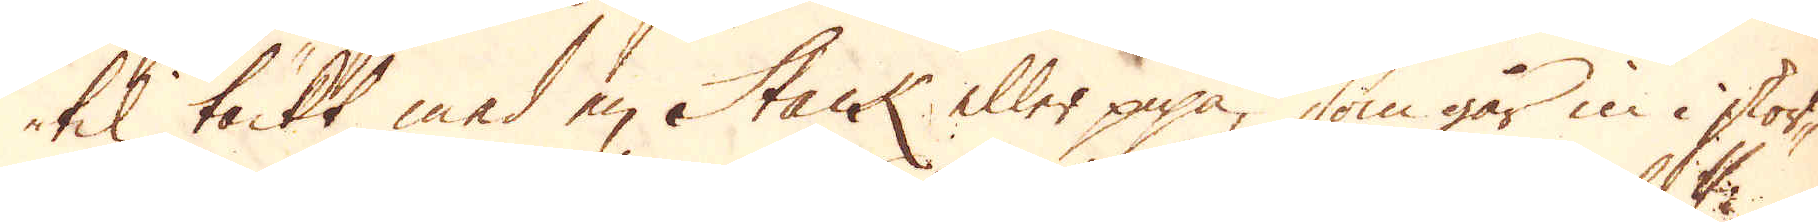til täckt med en Stack eller pipa, som går in i skor-
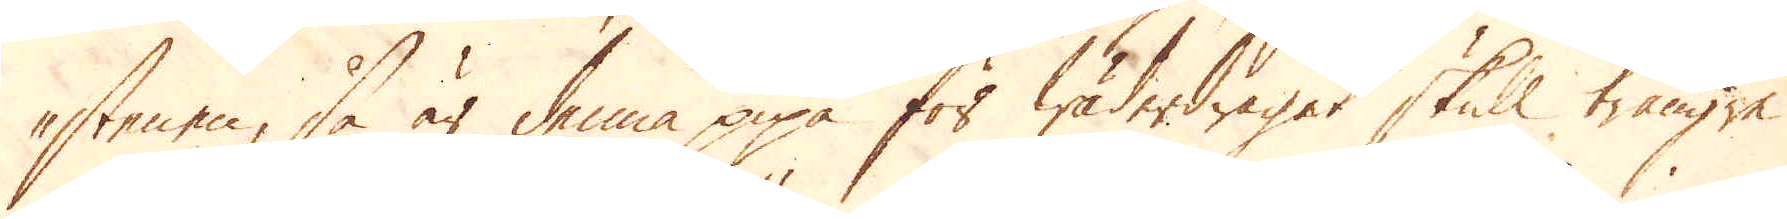stenen, så är denna pipa för wäderdraget skull trängre
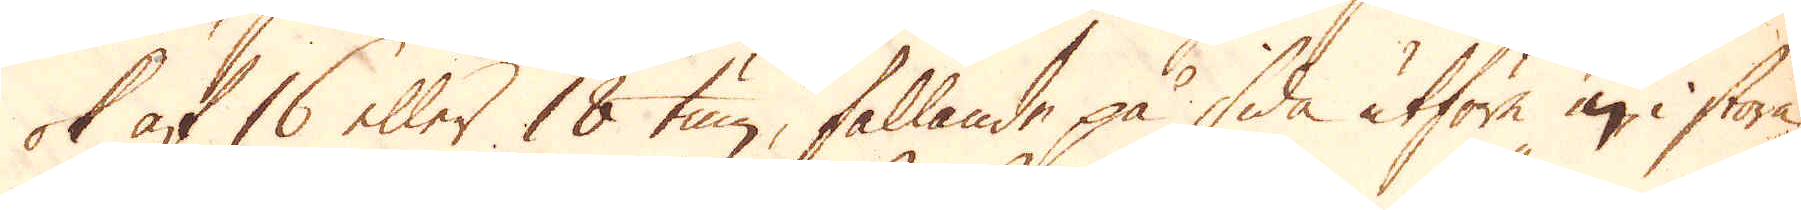ok af 16 eller 18 tum, fallande på sida utföre in i stora
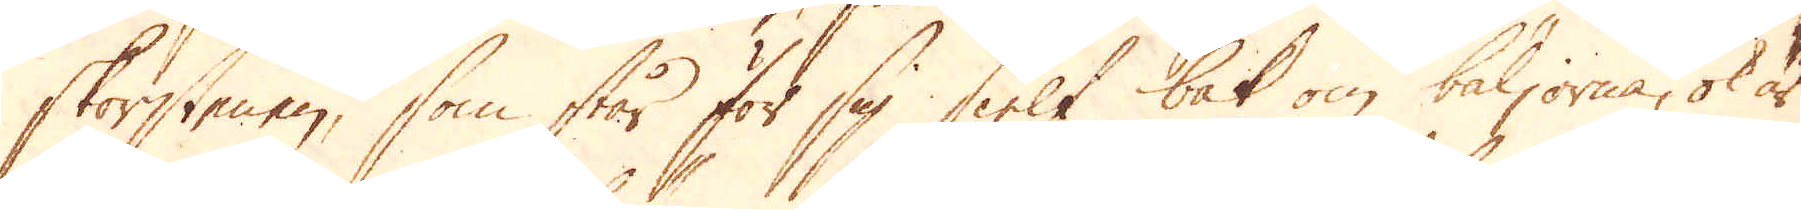skorstenen, som står för sig sielf bak om bäljorna, ok är
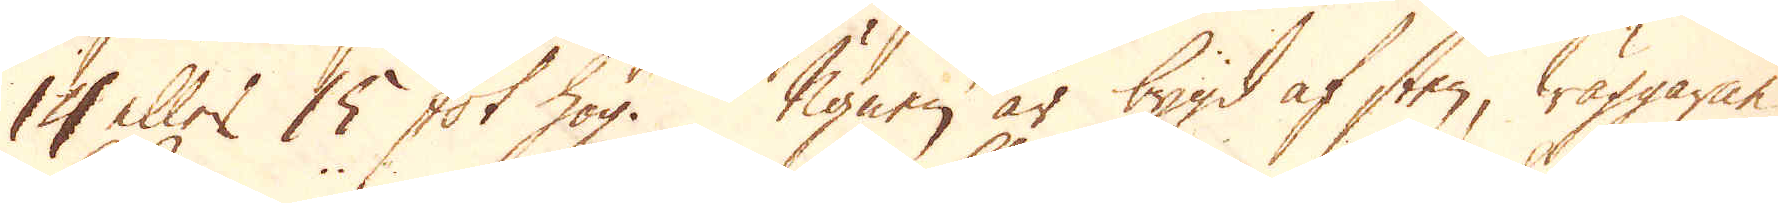14 eller 15 fot hög. Ugnen är bygd af sten, wäggarne
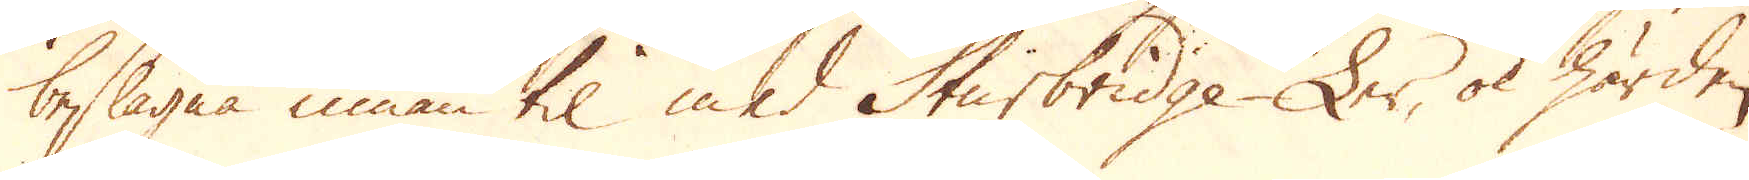beslagna innan til med Sturbridge-Ler, ok härden
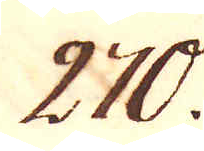270.
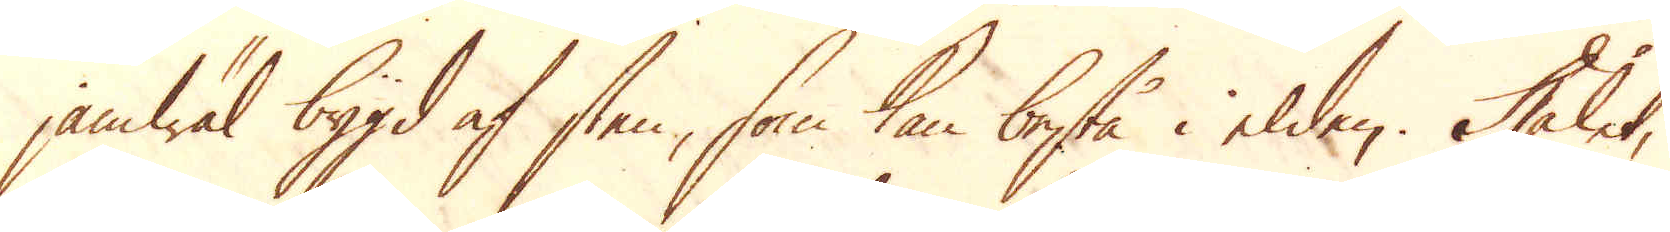jämwäl bygd af sten, som kan bestå i elden. Hålet,
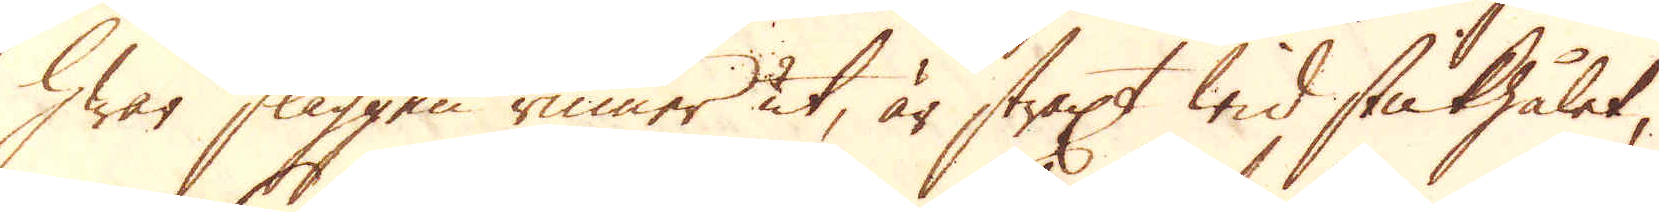hwar slaggen rinner ut, är straxt wid stukhålet,
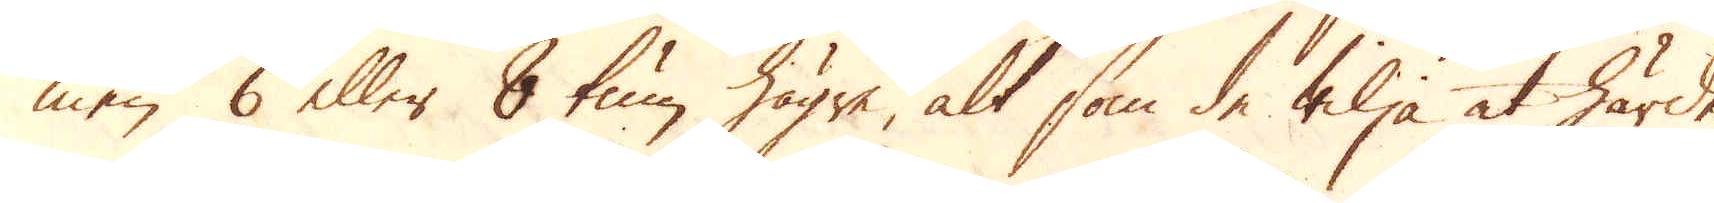men 6 eller 8 tum högre, alt som de wilja at härden
